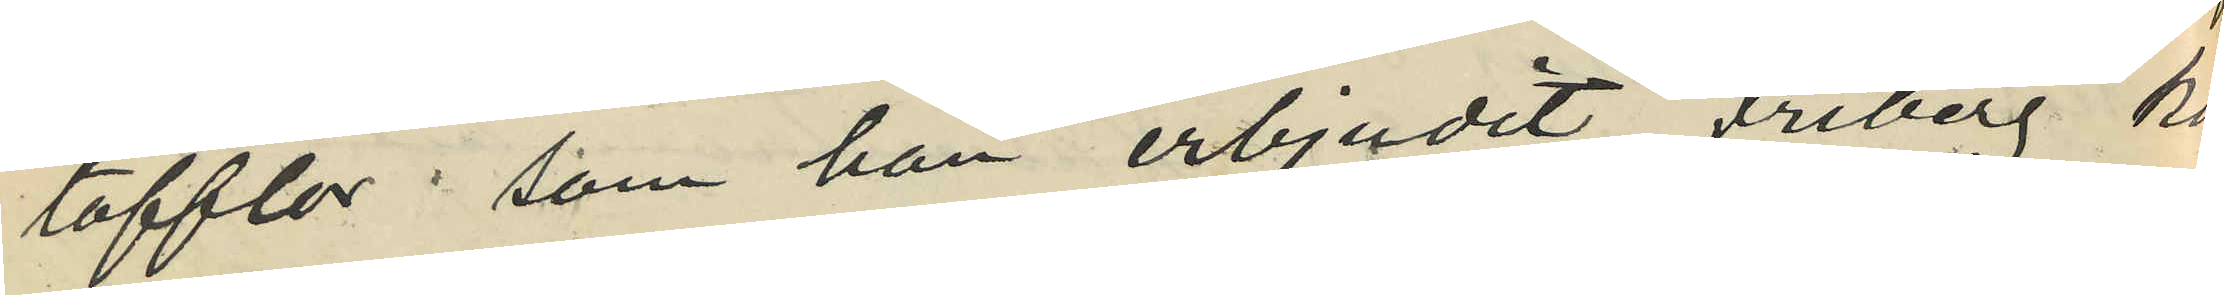tofflor, som han erbjudit Friberg köpa
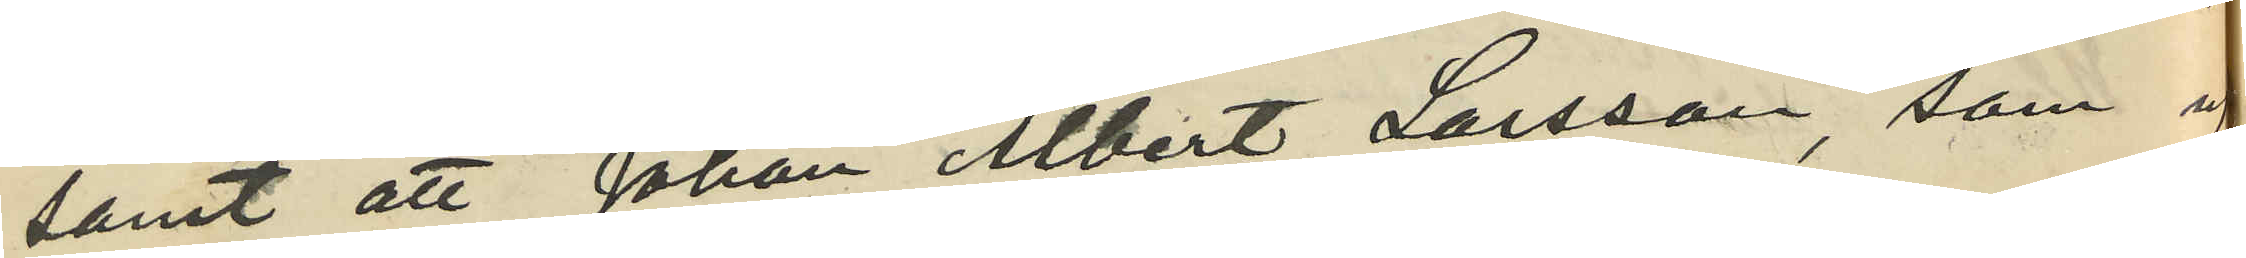samt att Johan Albert Larsson, som uppe¬
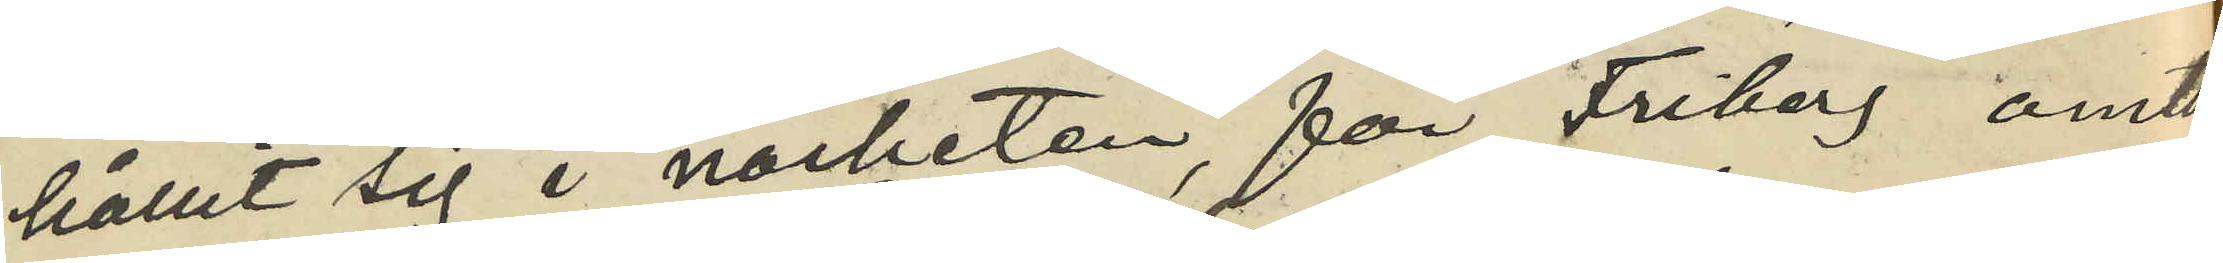hållit sig i närheten, för Friberg omtal¬
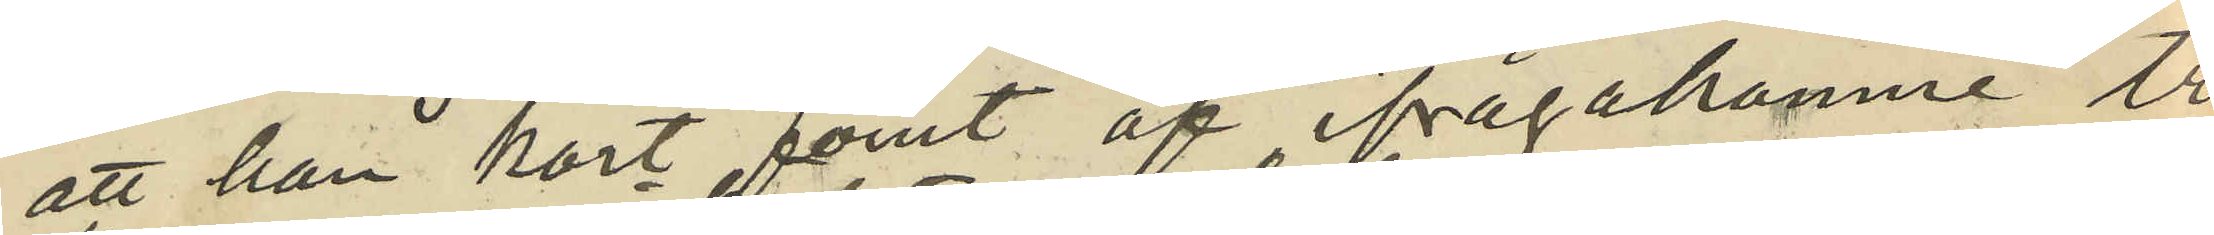att han kort förut af ifrågakomne tre
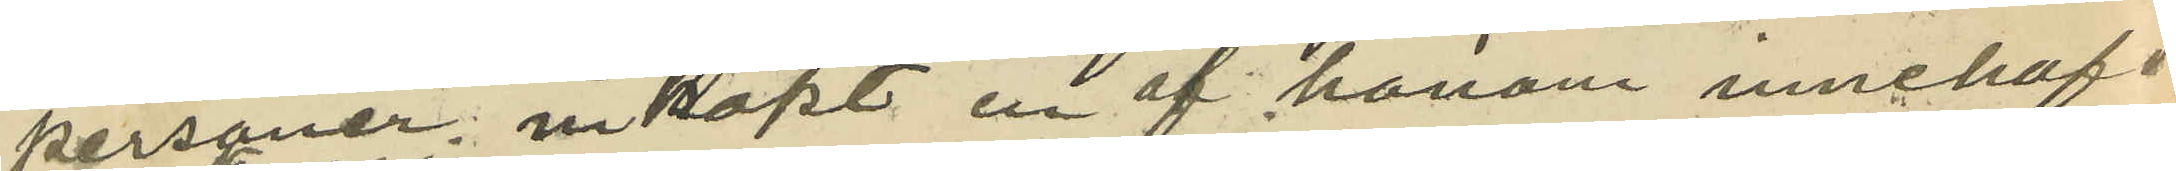personer; inköpt en af honom innehafd
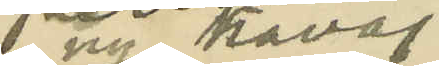 ny kavaj.
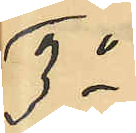3o
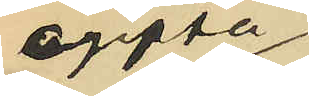ogifta
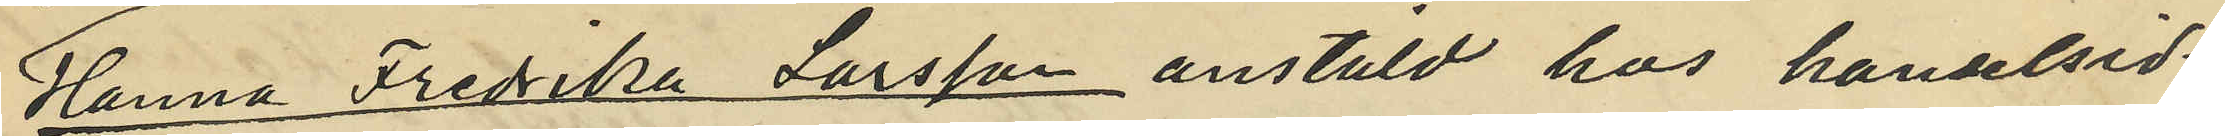Hanna Fredika Larsson anställd hos handelsid¬
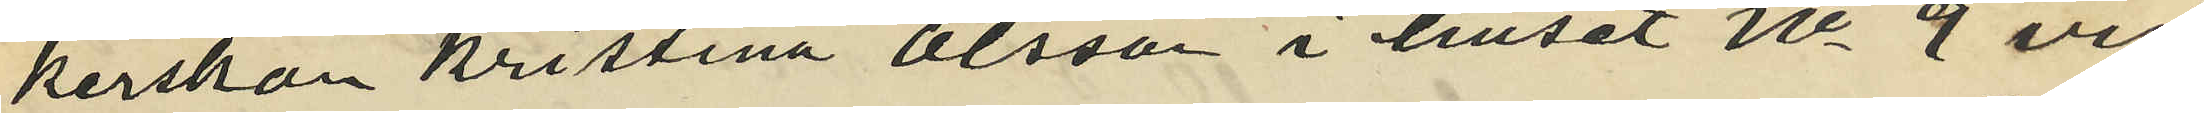kerskan Kristina Olsson i huset No 9 vid
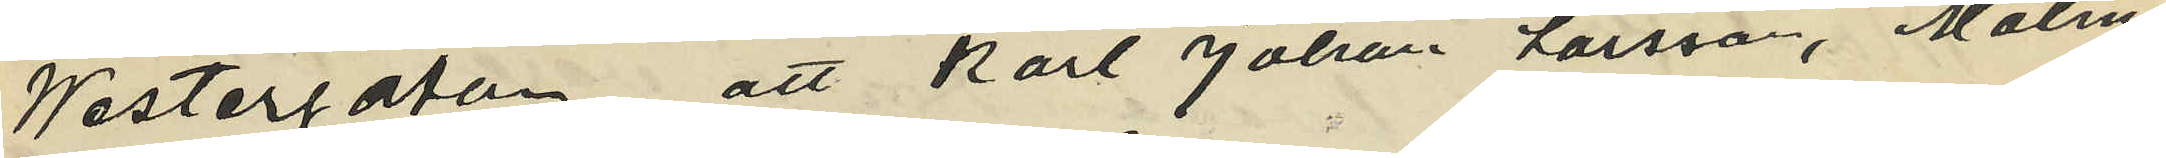Westergatan, att Karl Johan Larsson, Malm¬
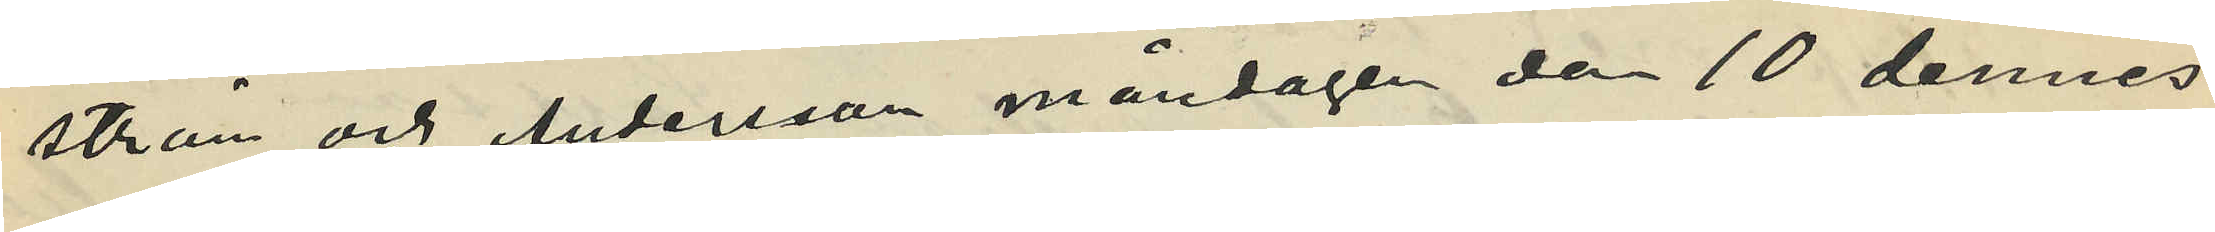ström och Andersson måndagen den 10 dennes
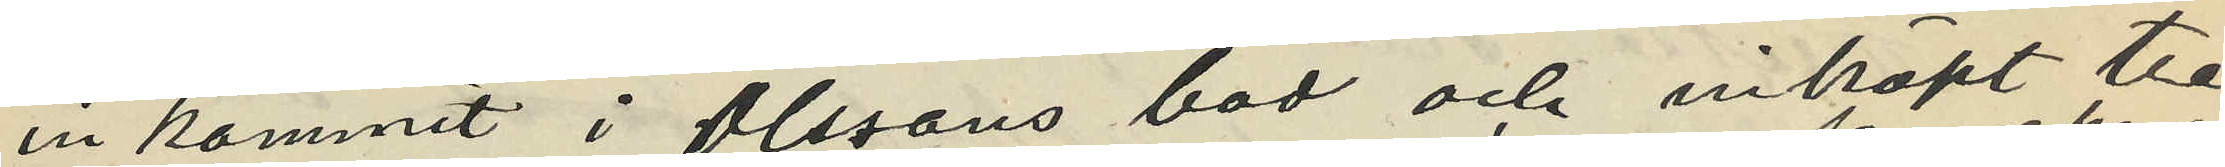inkommit i Olssons bod och inköpt tre
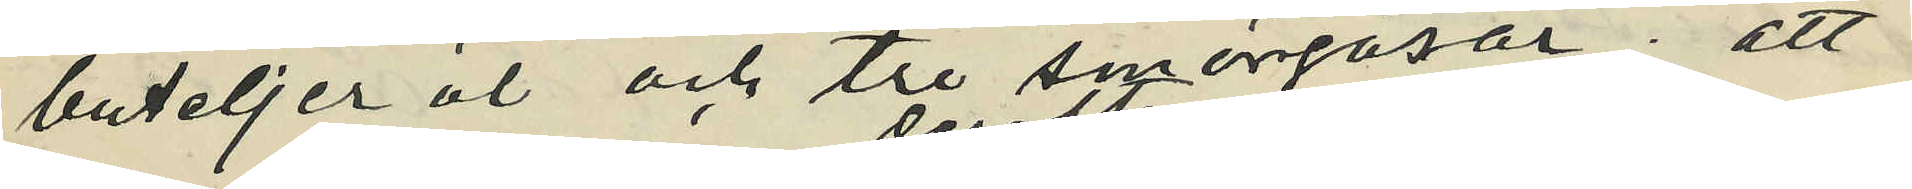buteljer öl och tre smörgåsar; att
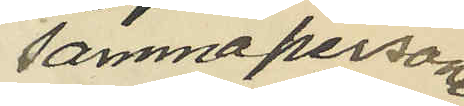samma personer
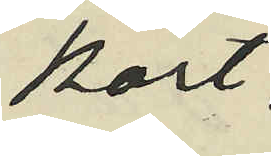kort
